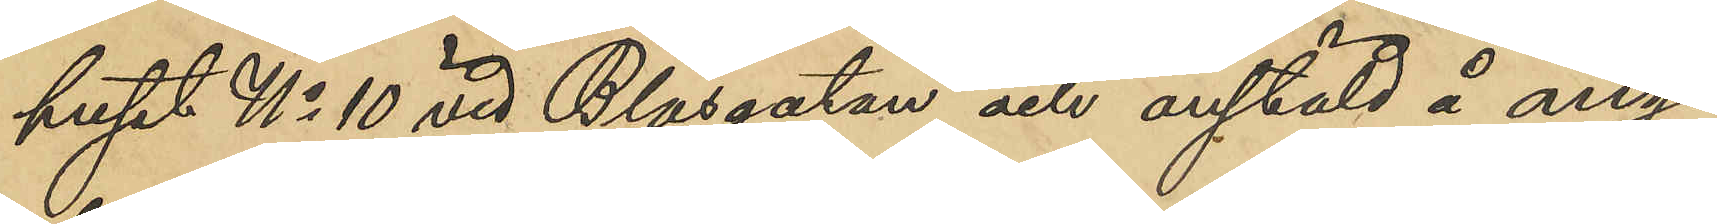huset No 10 vid Blåsgatan och anstäld å ång¬
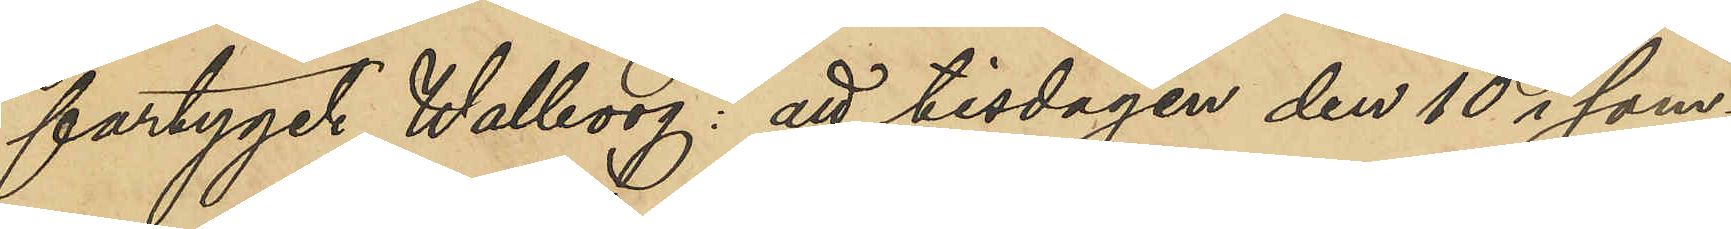fartyget Wahlborg: att tisdagen den 10 i sam¬
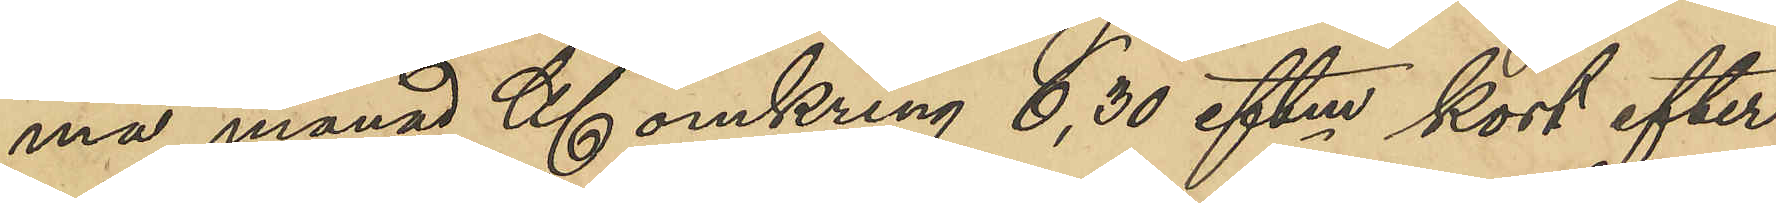ma månad Kl omkring 6,30 eftm kort efter
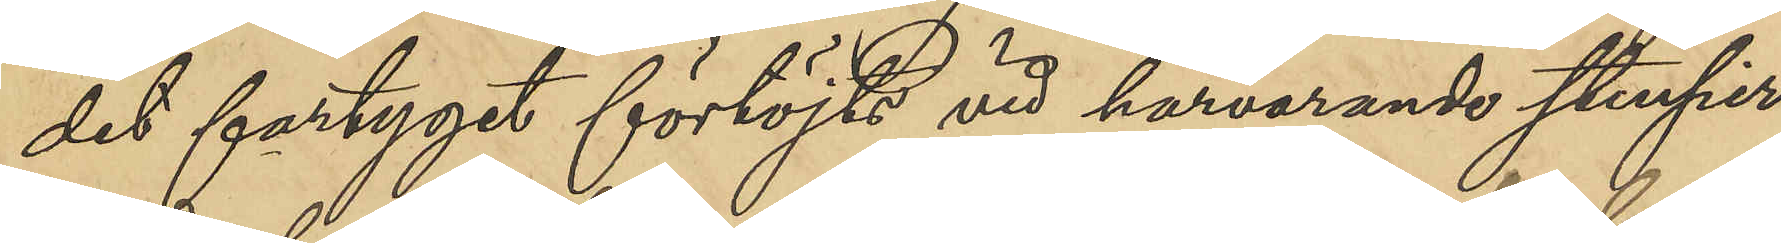det fartyget förtöjt vid harvarande Stenpir
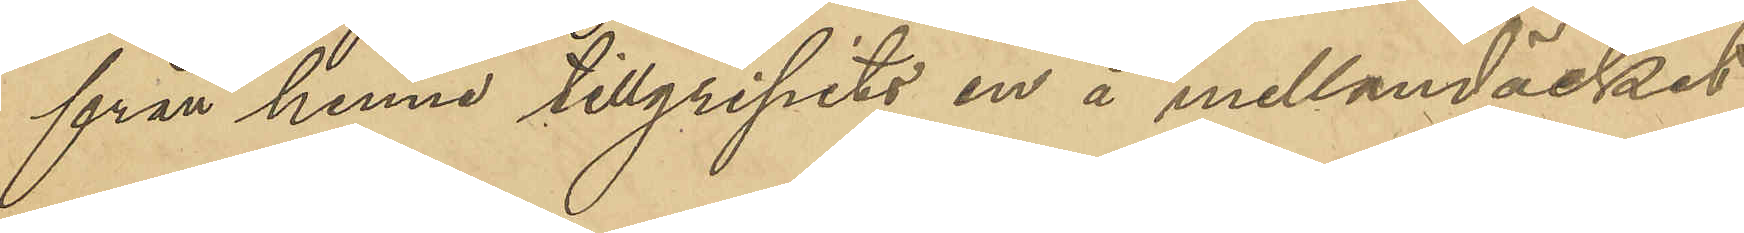från henne tillgripits en å mellandäcket
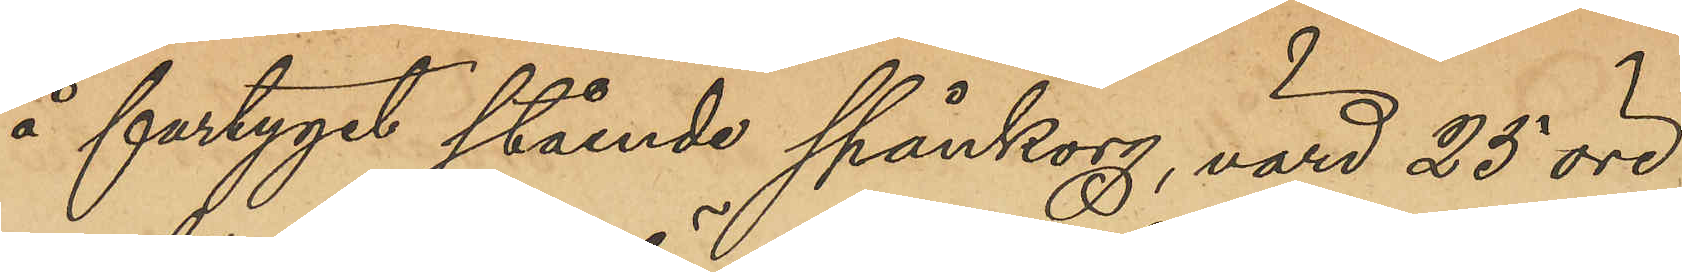å fartyget stående spånkorg, värd 25 öre
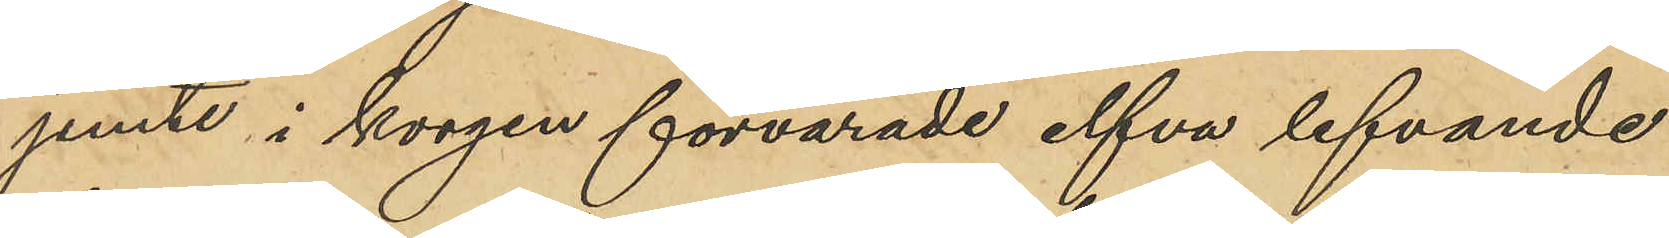jemte i korgen förvarade elfva lefvande
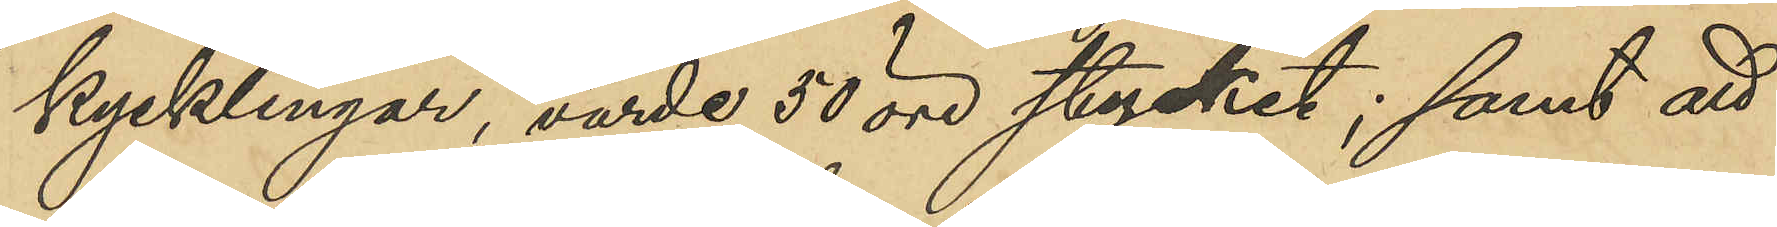kycklingar, värde 50 öre stycket; samt att
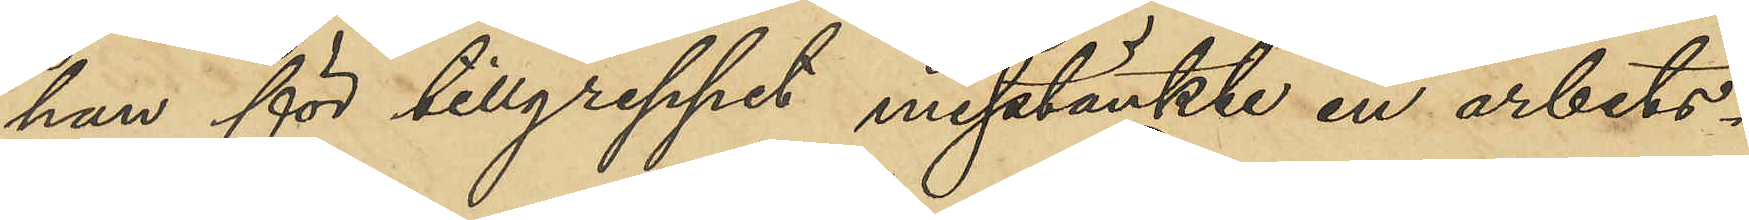hon för tillgreppet misstänkte en arbets¬
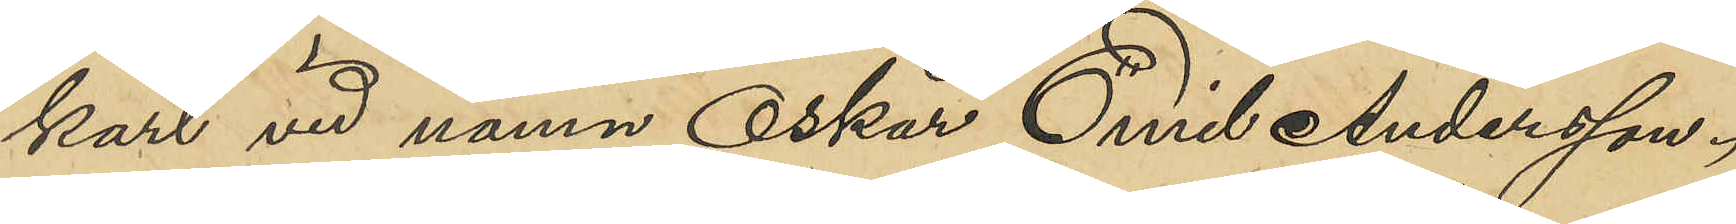karl vid namn Oskar Emil Andersson.
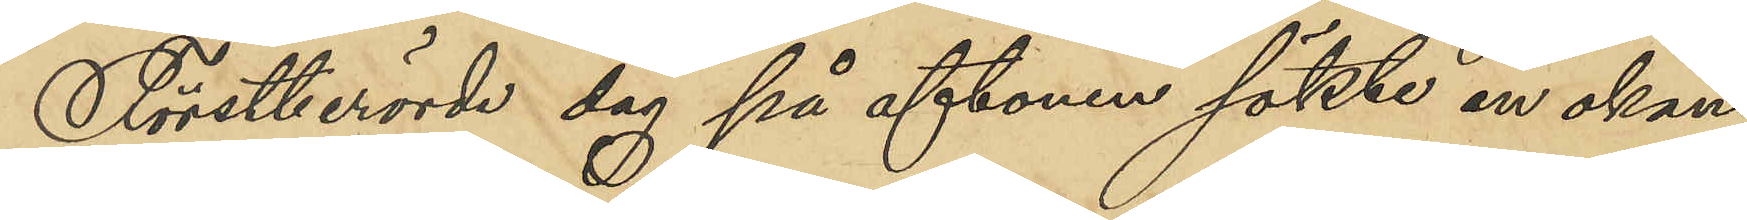Förstberörde dag på aftonen sökte en okänd
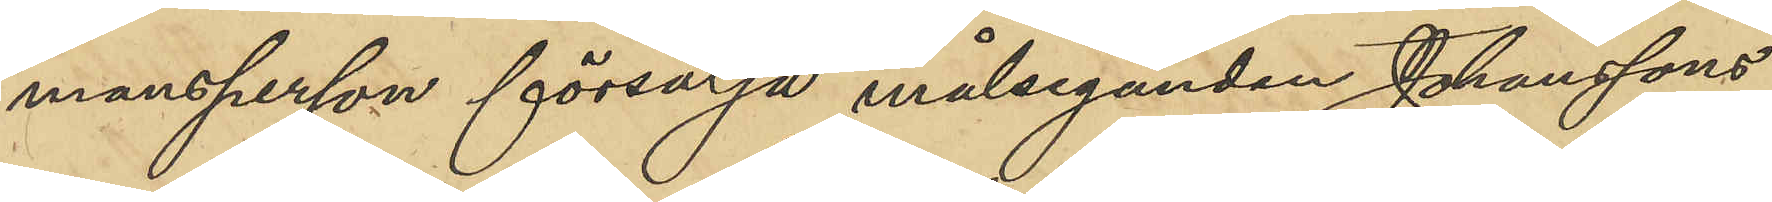mansperson försälja målseganden Johanssons
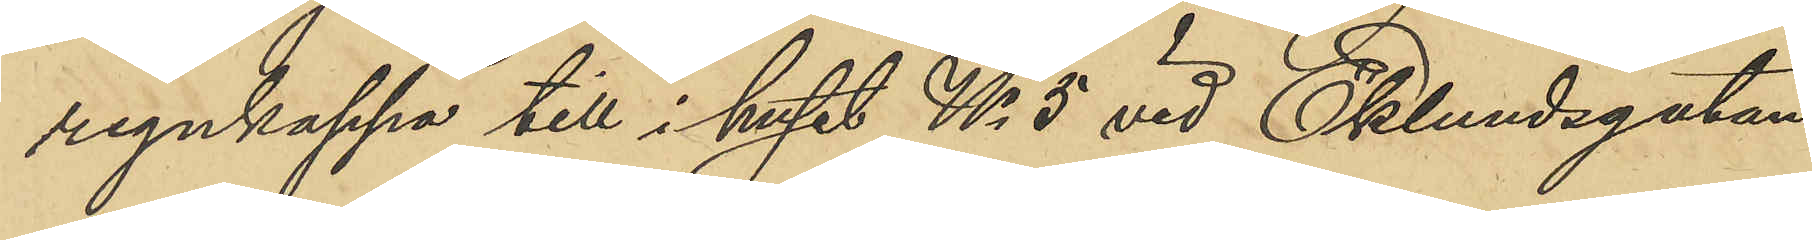regnkappa till i huset No 5 vid Eklundsgatan
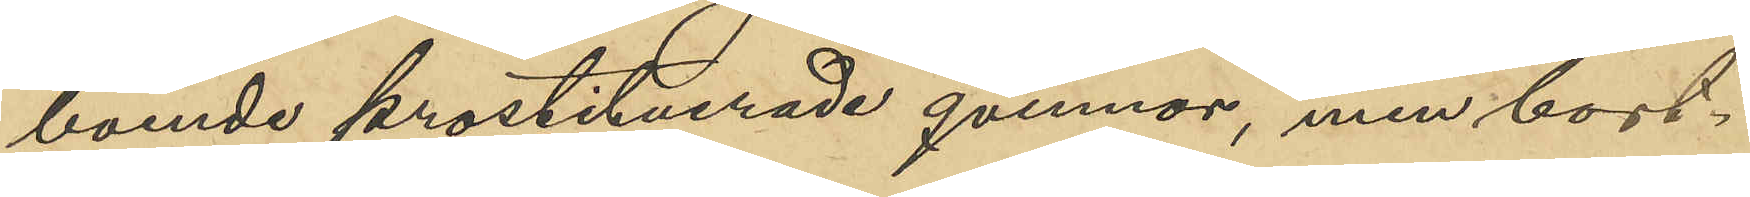boende prostituerade qvinnor, men bort¬
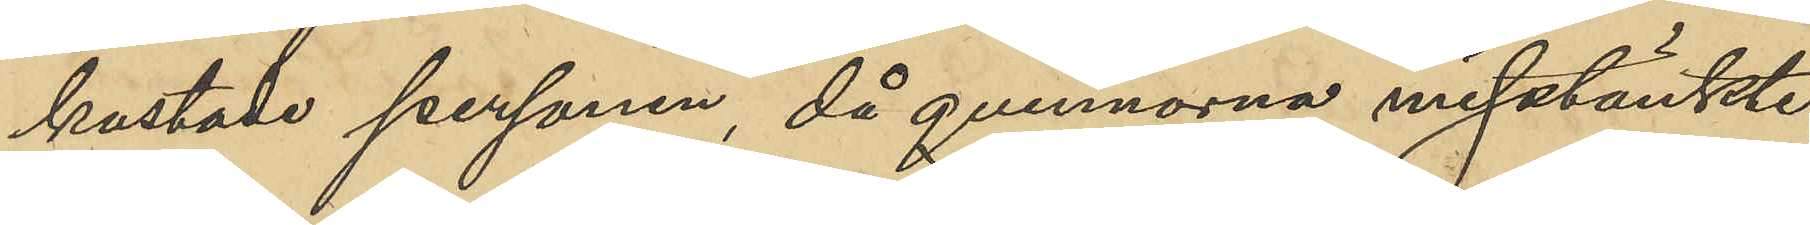kastade personen, då qvinnorna misstänkte
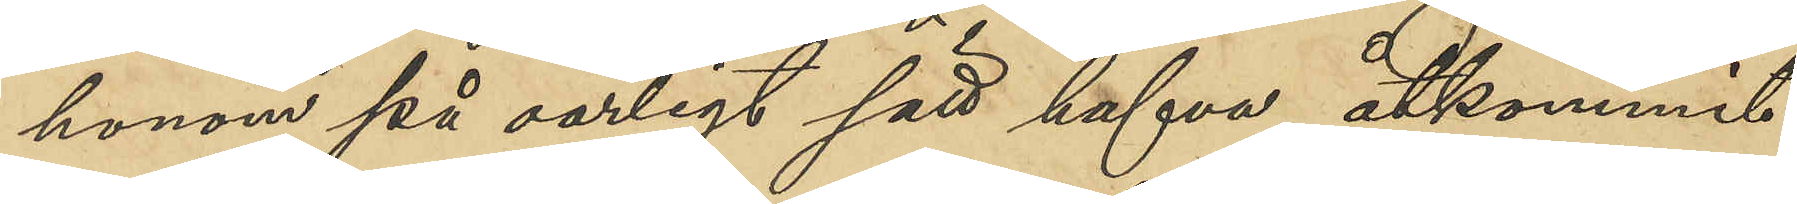honom på oärligt sätt hafva åtkommit
